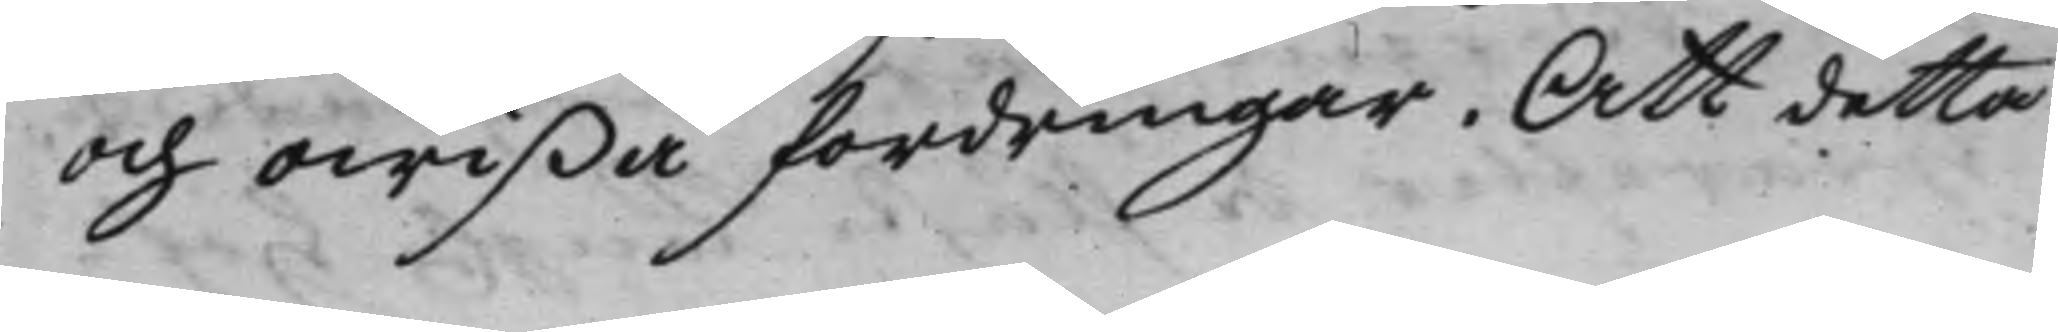och owißa fordringar. Att detta
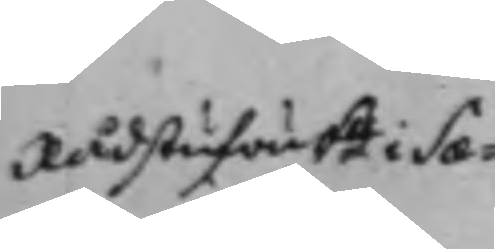RådstufwuRn i Sæ¬
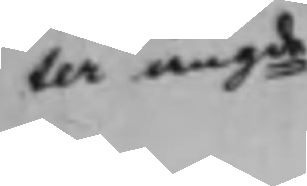ter angde
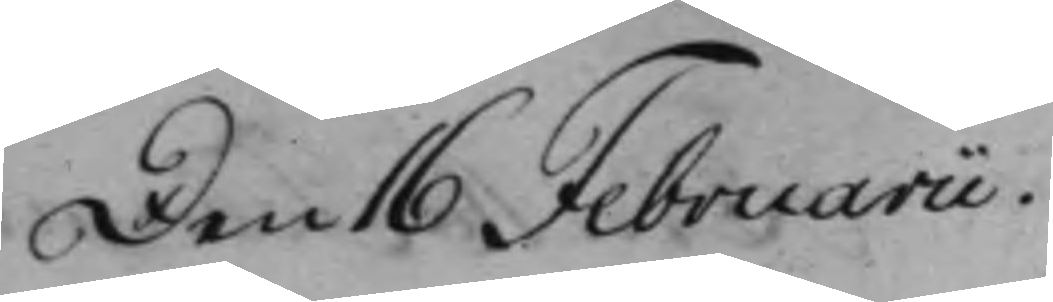Den 16 Februarii.
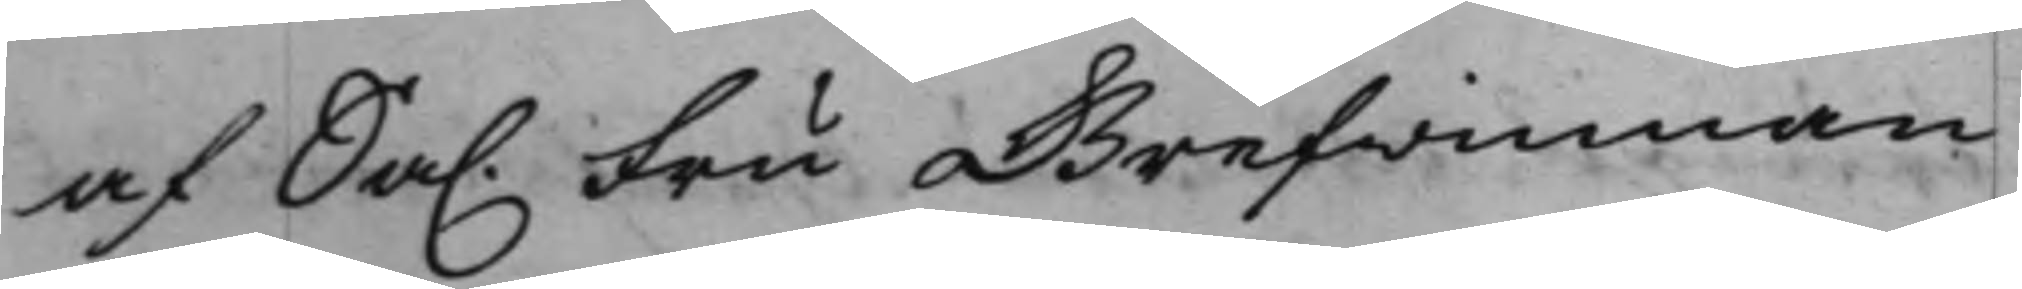af Sal. Fru Grefwinnan
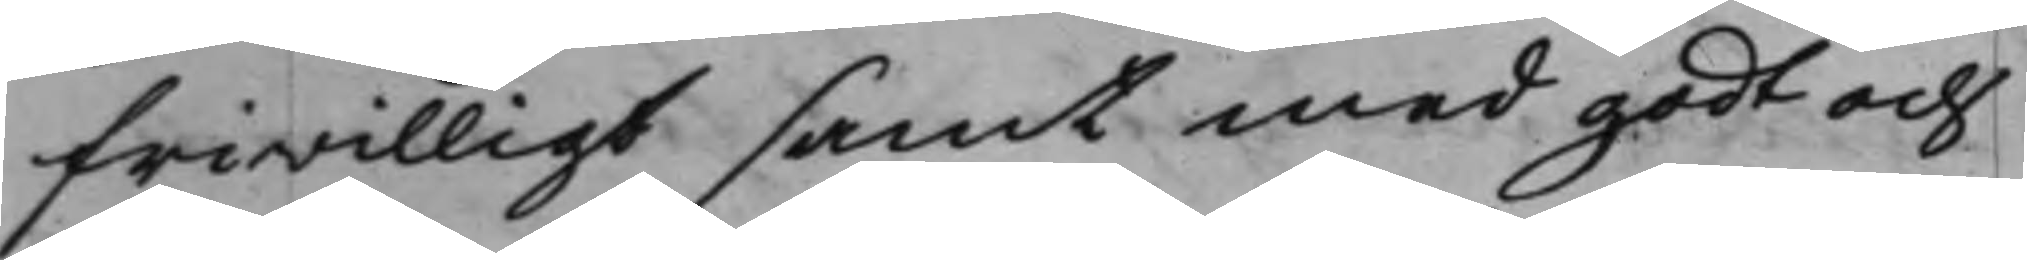friwilligt samt med godt och
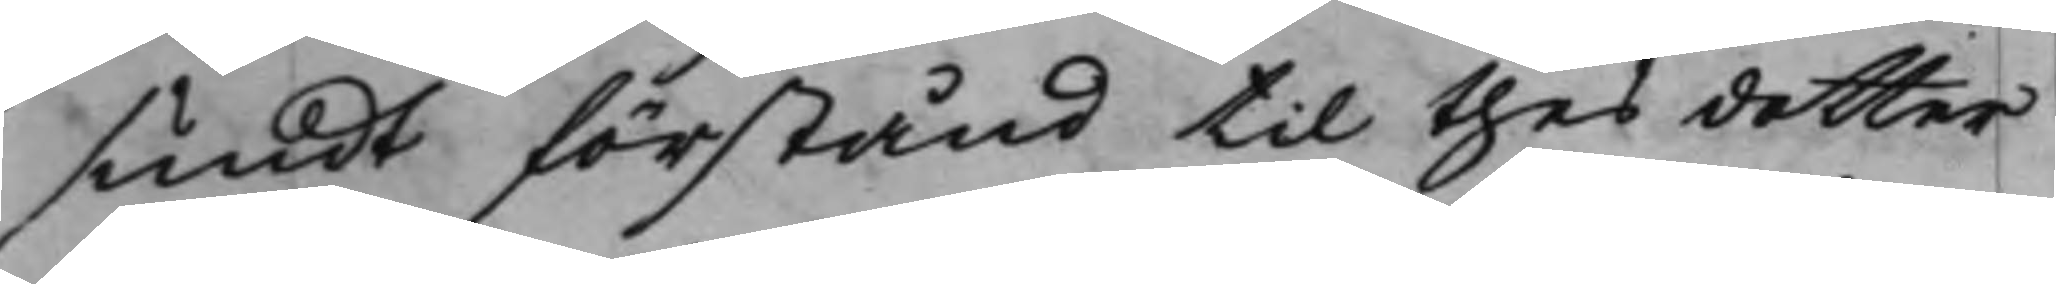sundt förstånd til thes dotter
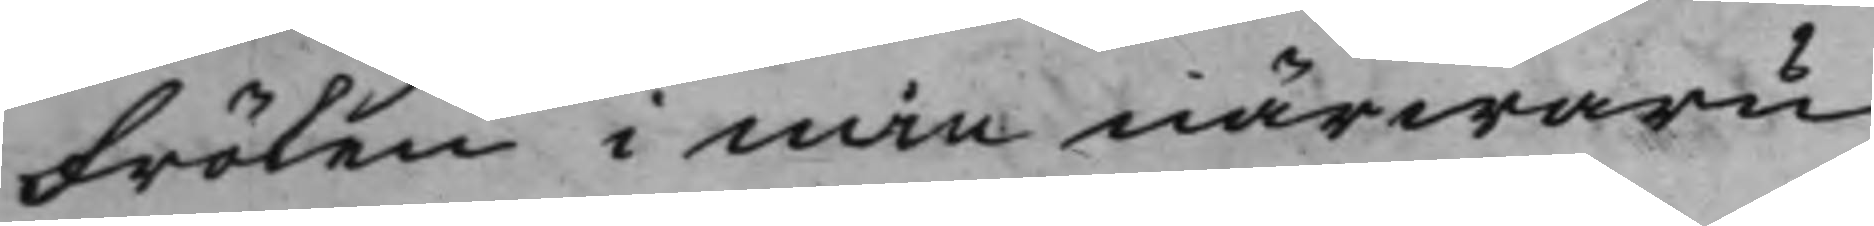Fröken i min närwaru
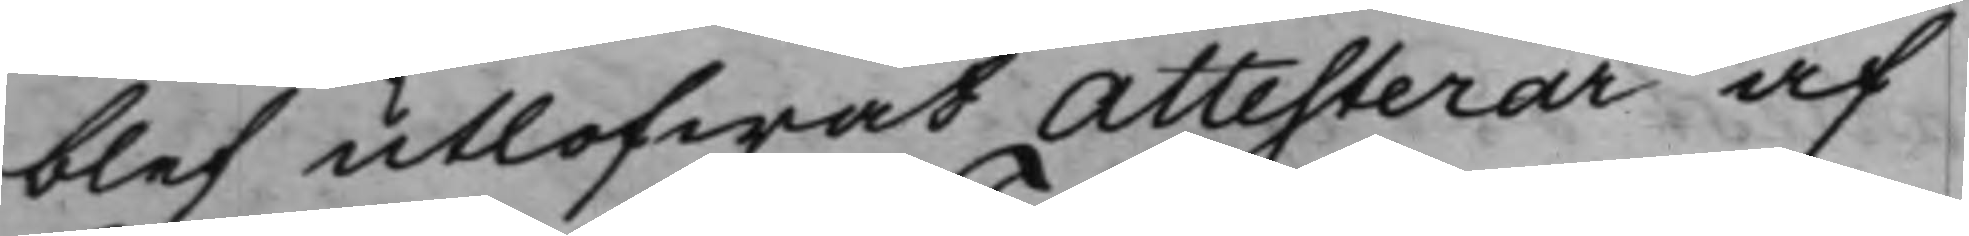blef utlofwat Attesterar af
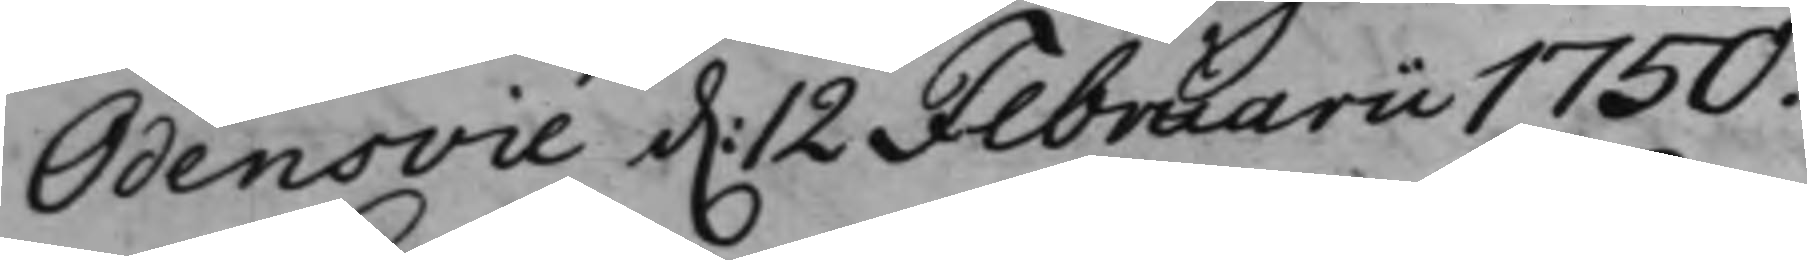Odensvie d. 12 Februarii 1750.
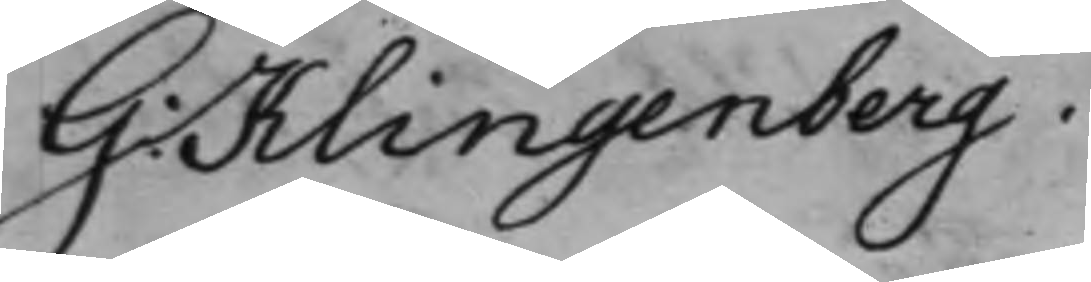G: Klingenberg.
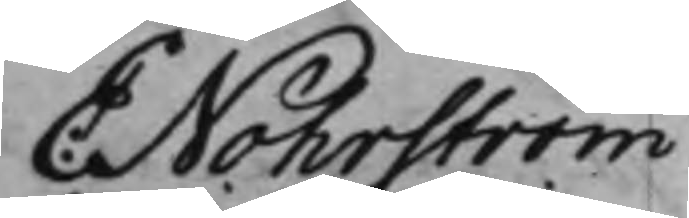E: Nohrström
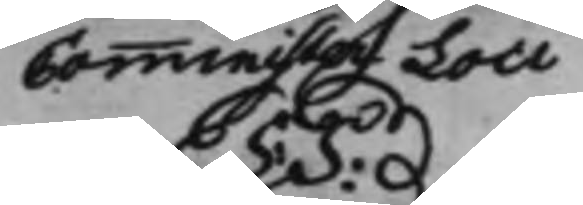Comminister Loci
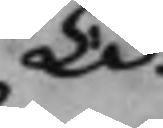L: S:
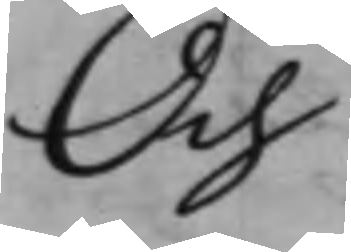Och
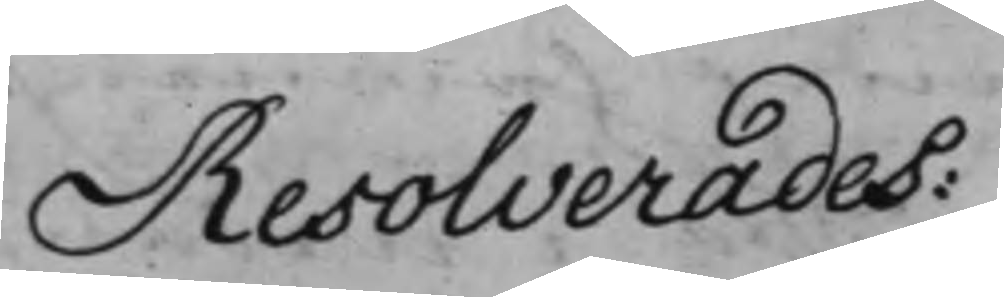Resolverades:
